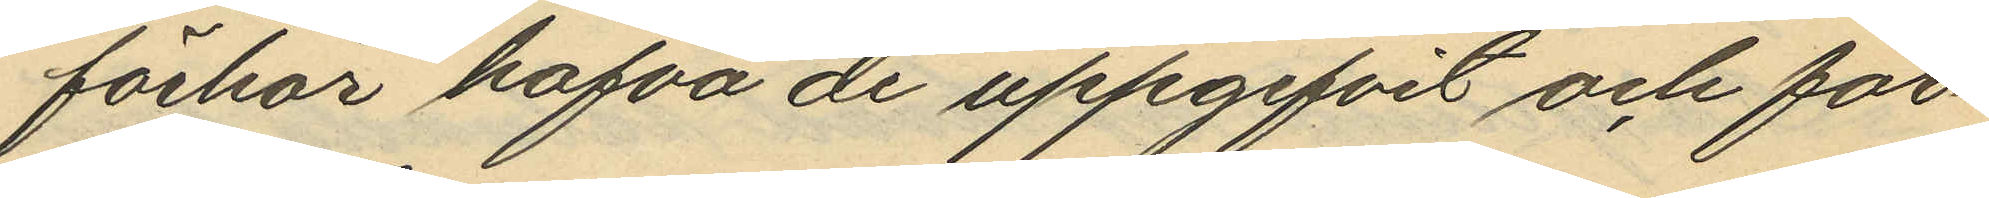förhör hafva de uppgifvit och för¬
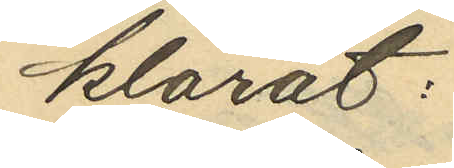klarat:
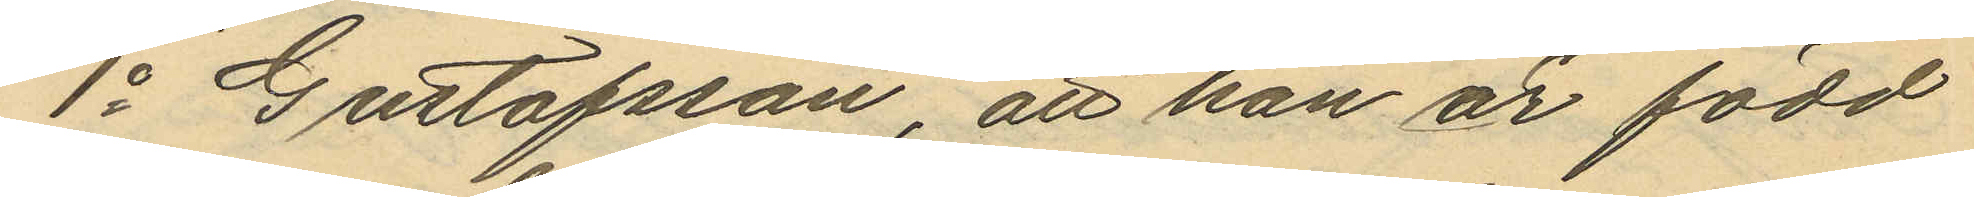1o Gustafsson, att han är född
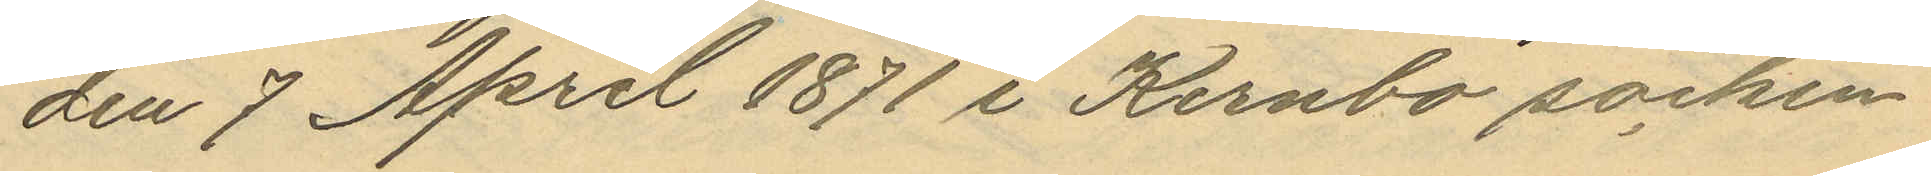den 7 April 1871 i Kernbo socken
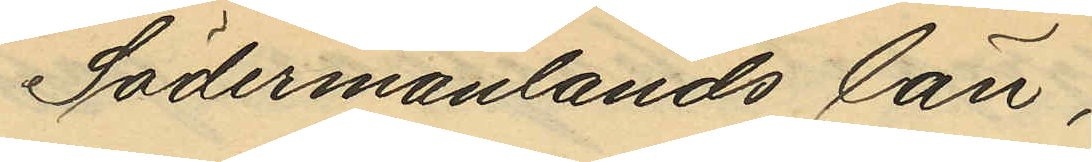Södermanlands län,
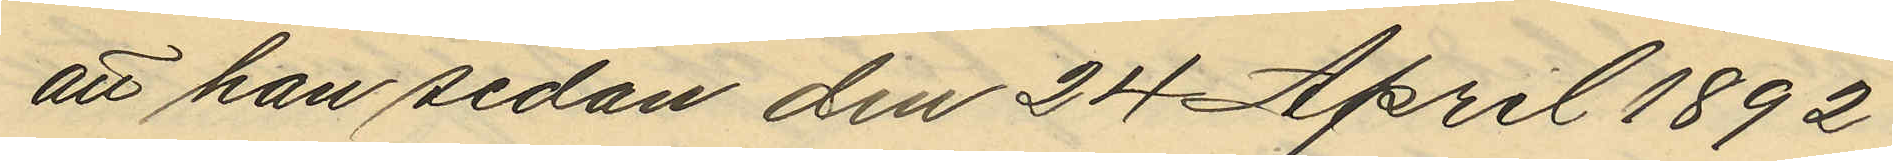att han sedan den 24 April 1892
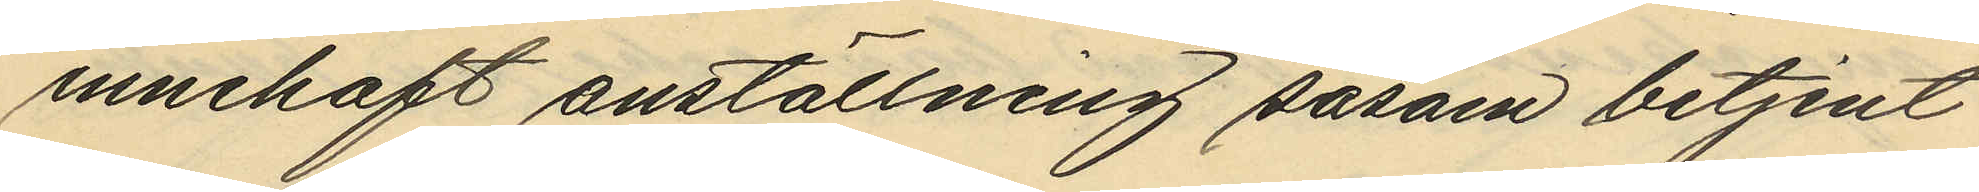innehaft anställning såsom betjent
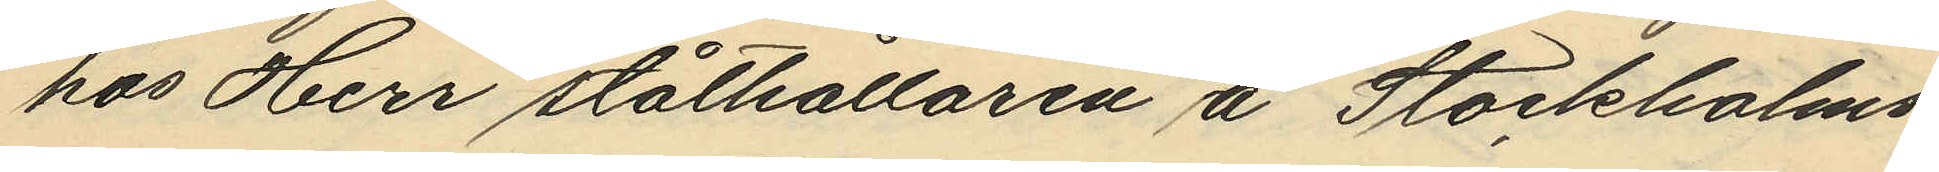hos Herr ståthållaren å Stockholms
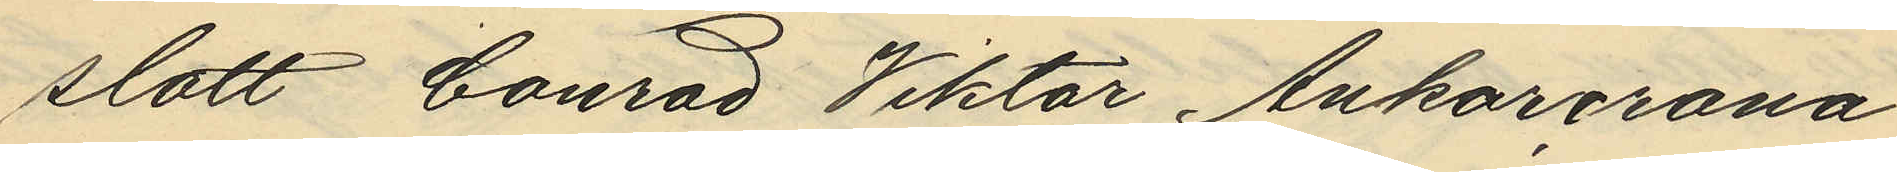slott Conrad Viktor Ankarcrona
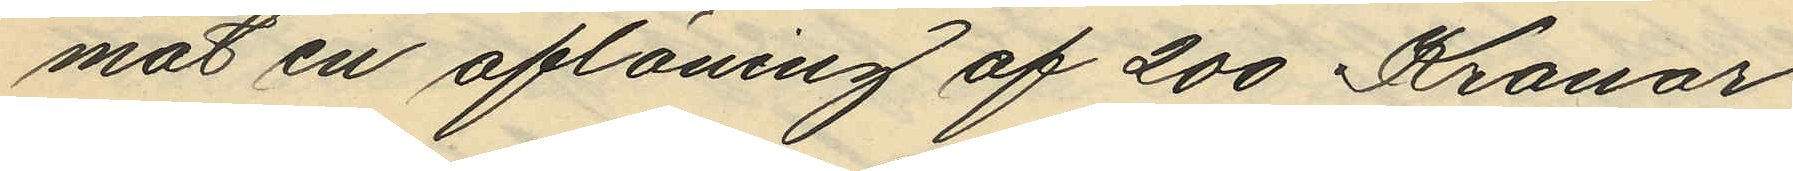mot en aflöning af 200 Kronor
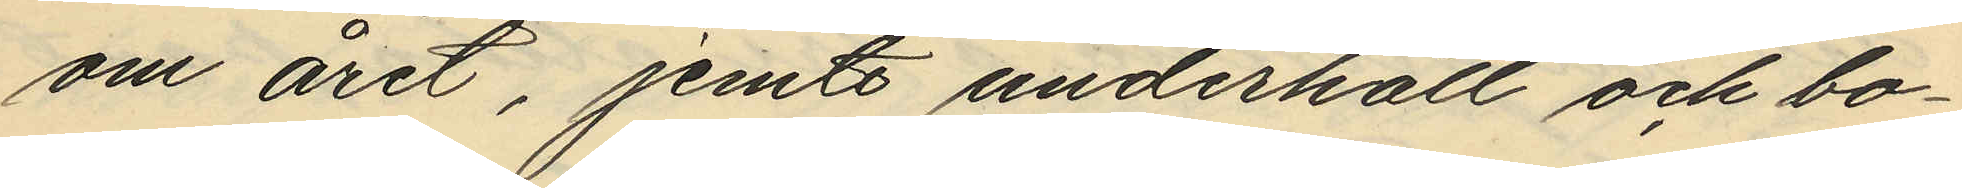om året, jemte underhåll och bo¬
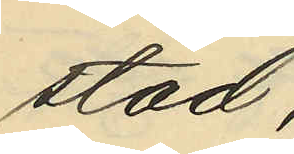stad,
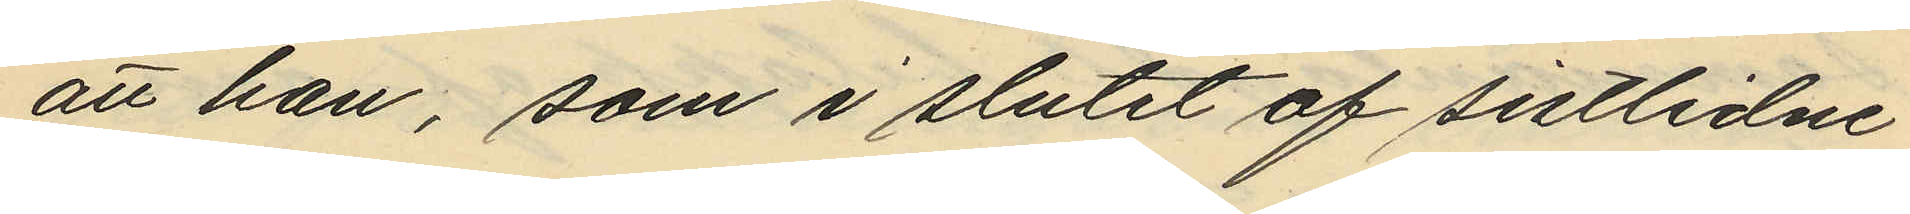att han, som i slutet af sistlidne
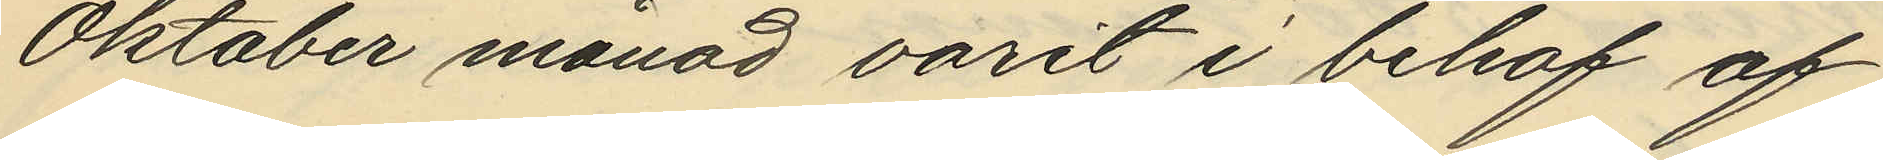Oktober månad varit i behof af
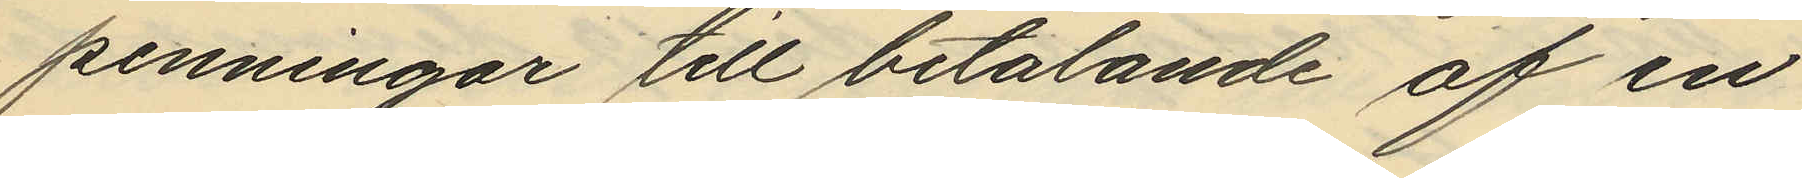penningar till betalande af en
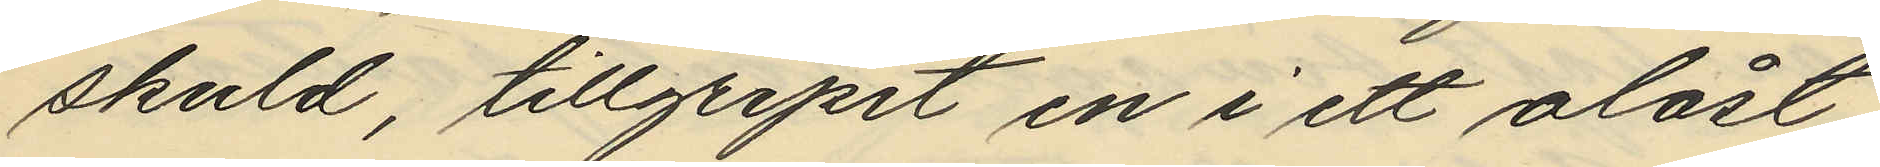skuld, tillgripit en i ett olåst
